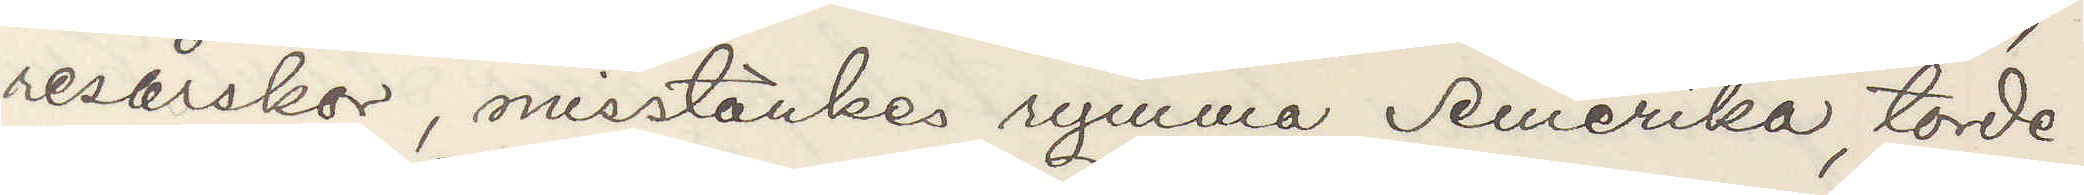resårskor, misstänkes rymma Amerika, torde
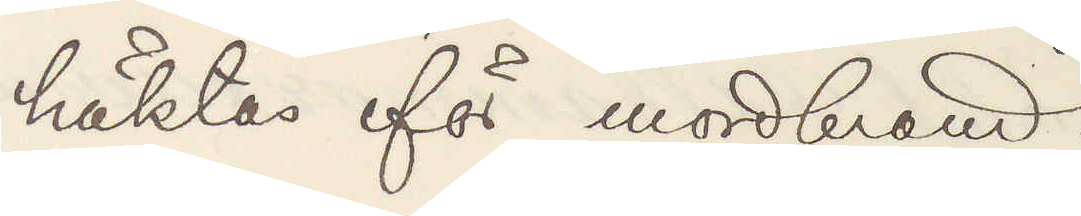häktas för mordbrand.
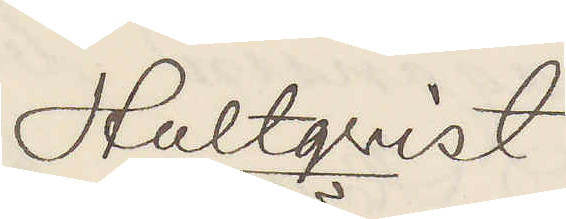Hultqvist
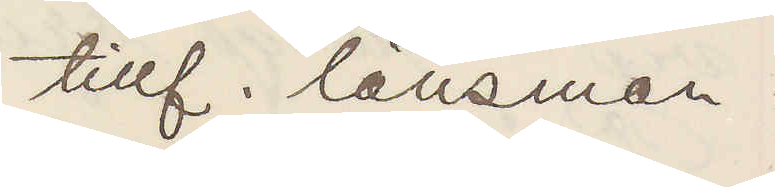tillf. länsman.
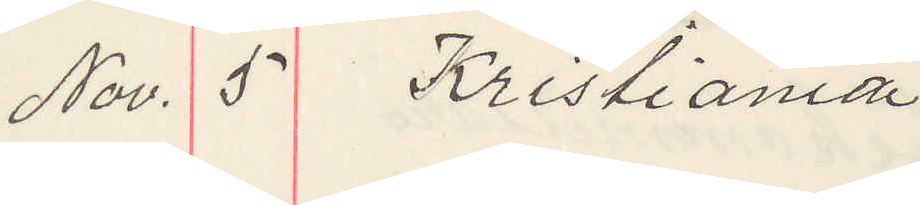Nov. 5 Kristiania
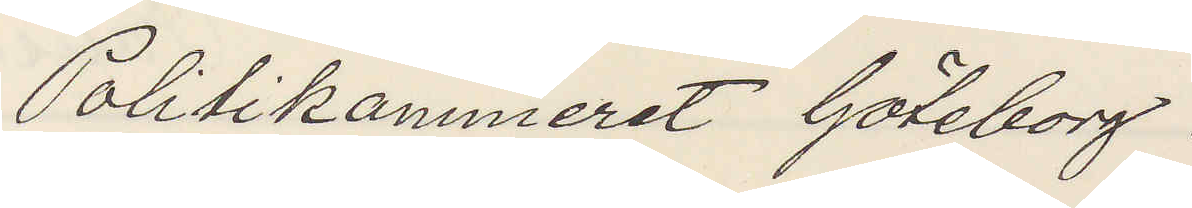Politikammeret Göteborg.
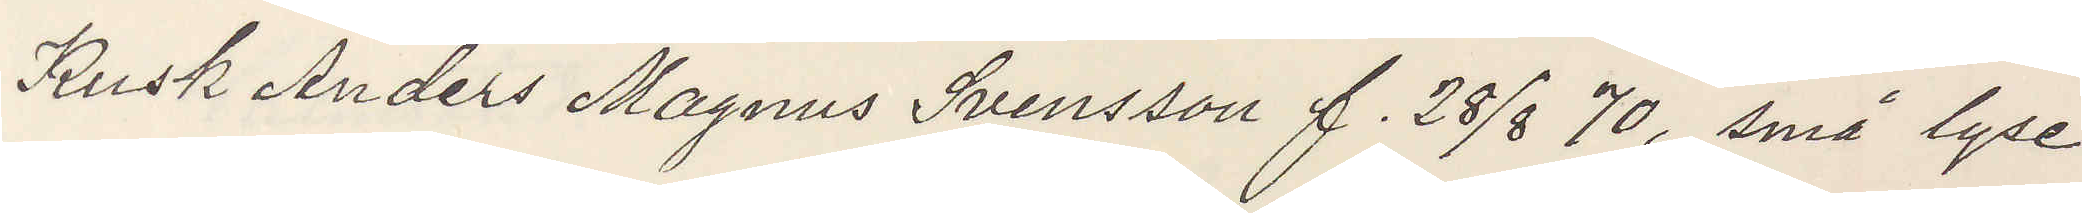Kusk Anders Magnus Svensson f. 38/8 70, små lyse
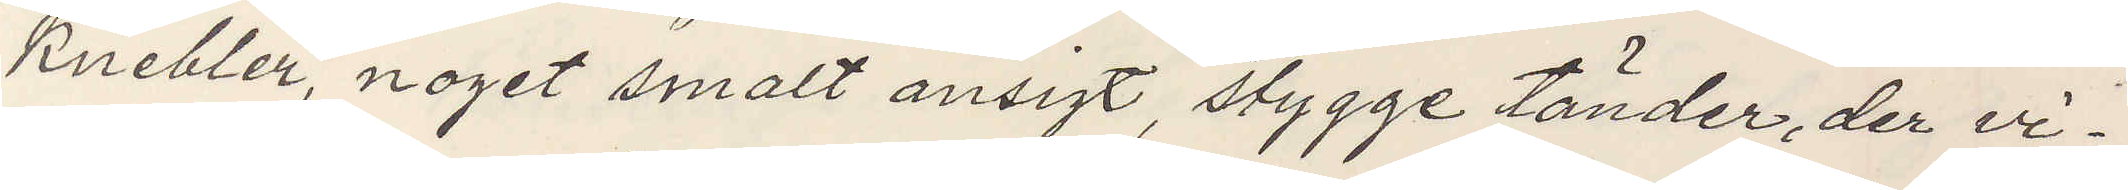knebler, noget smalt ansigt, stygge tänder, der vi¬
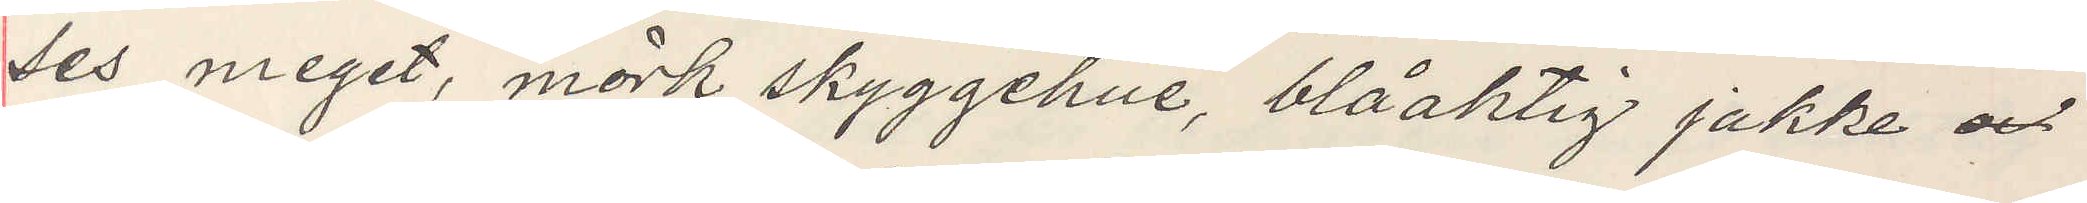ses meget, mörk skyggehue, blåaktig jakke och
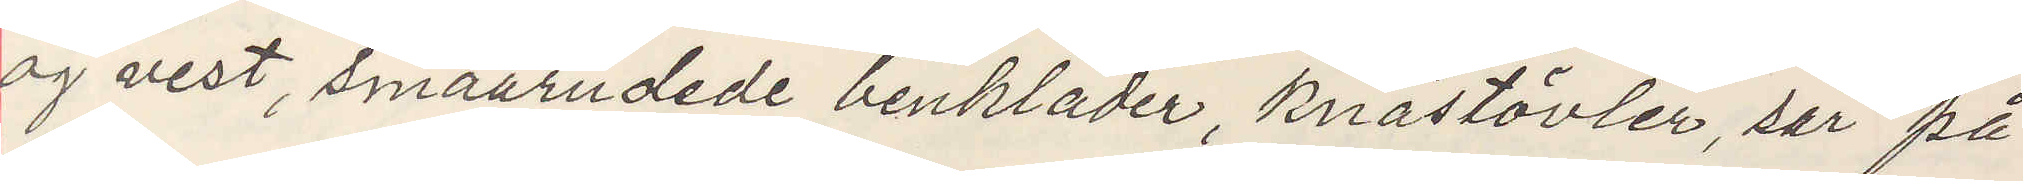og vest, smaarudede benkläder, knästövler, sår på
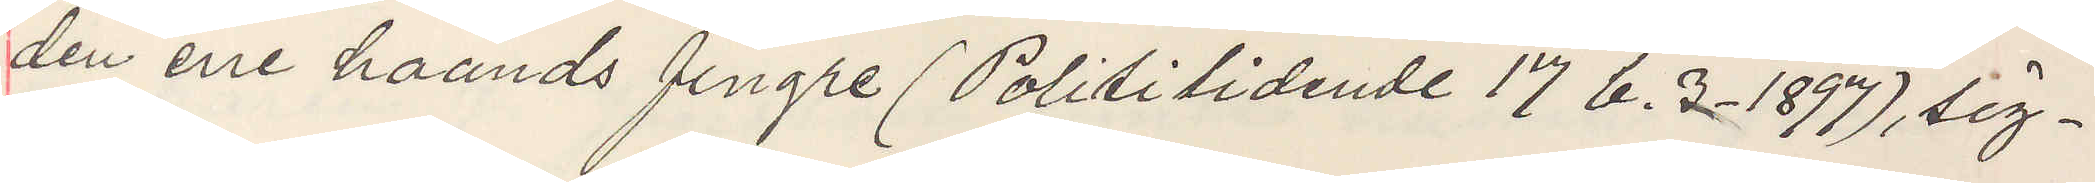den ene haands fingre (Polititidene 17 b. 3. 1897) sig¬
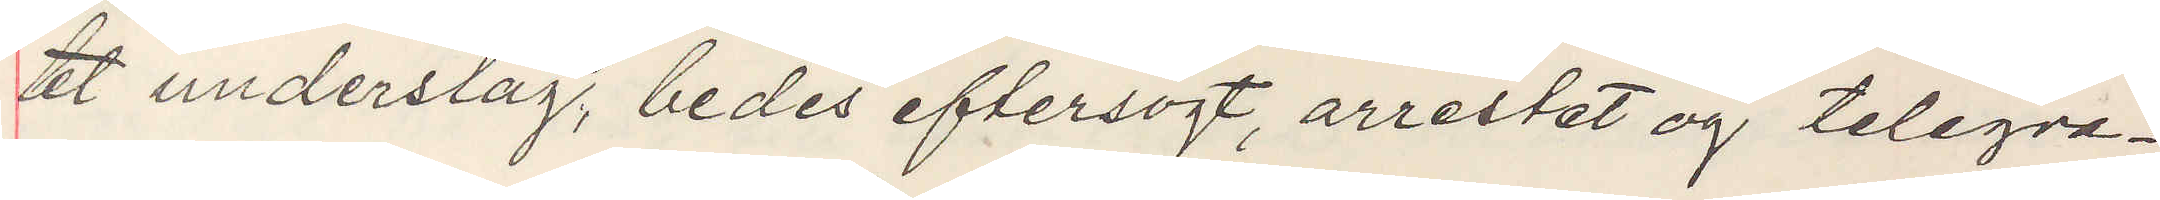tet underslag, bedes eftersögt, arrestet og telegra¬
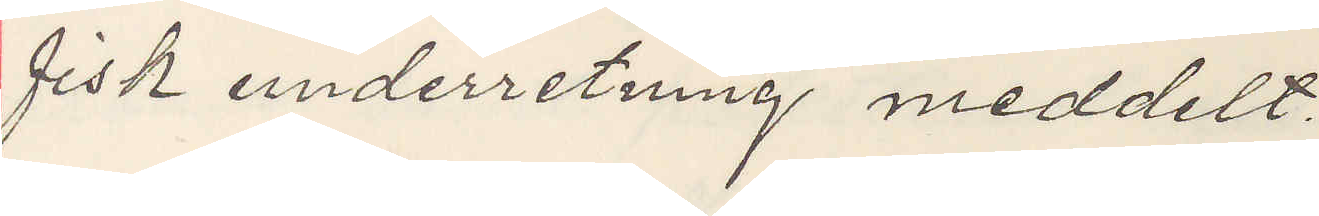fisk underretning meddelt.
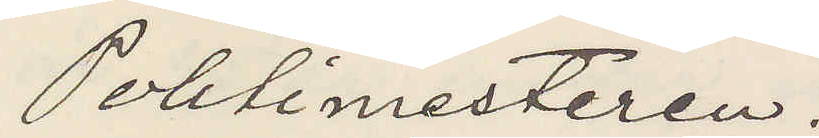Politimesteren.
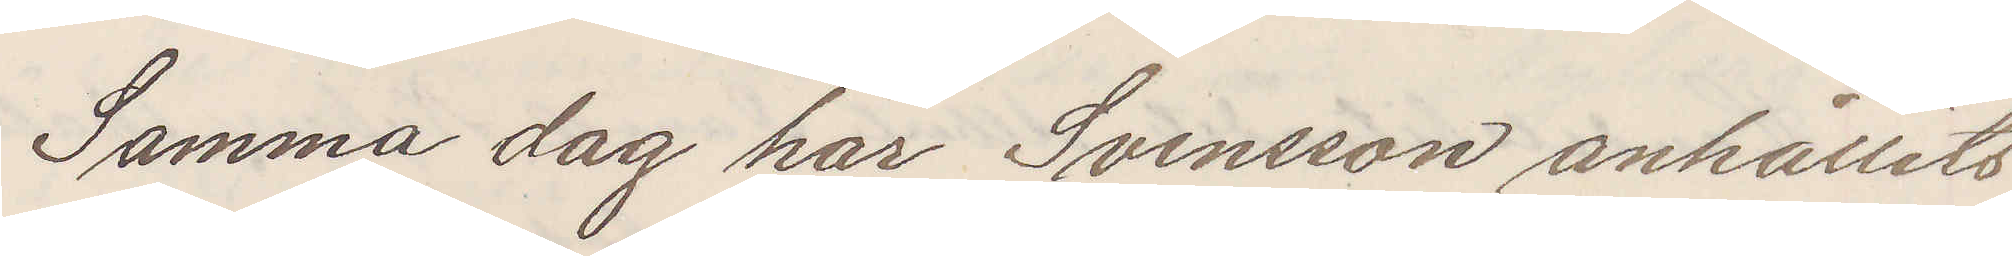Samma dag har Svensson anhållits
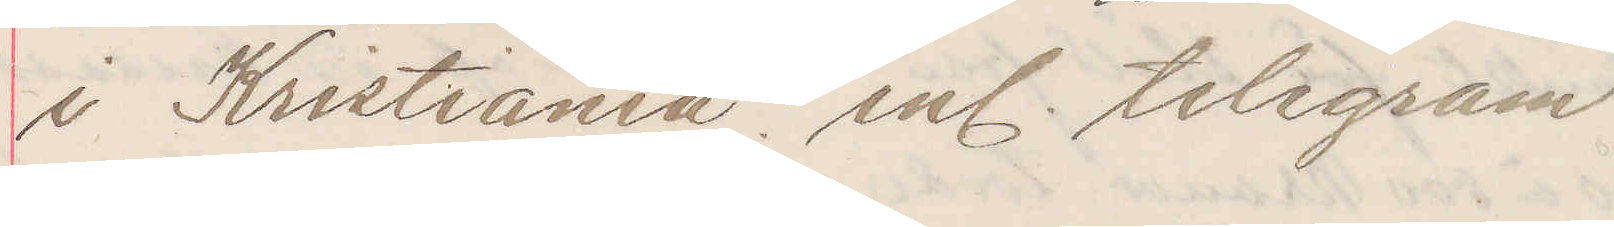i Kristiania enl. telegram
